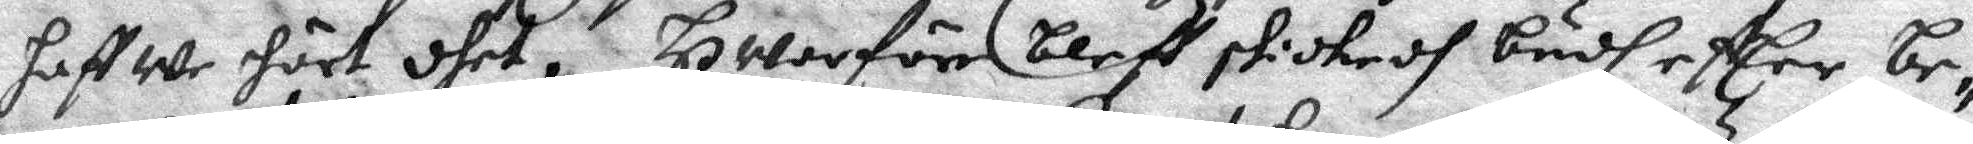haffwe hört dhet, Hworför bleff skickadh budh effter be¬
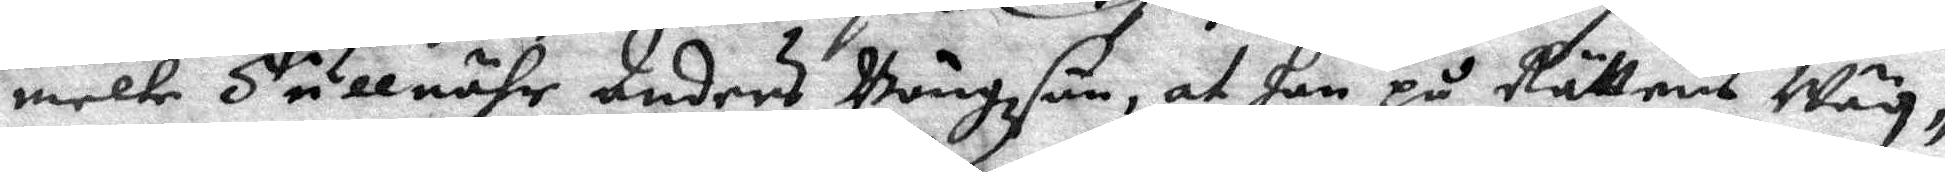melte Tullnähr Anders Bängzson, at han på Rättens Wäg¬
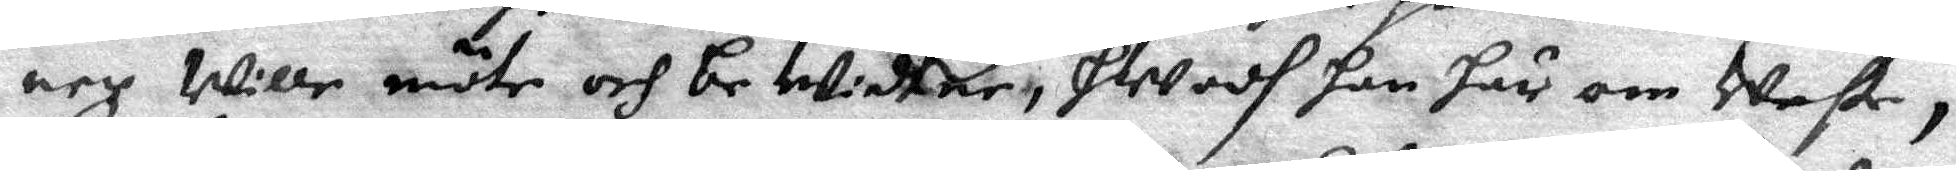ner wille möte och bewidtne, hwadh han här om Weste,
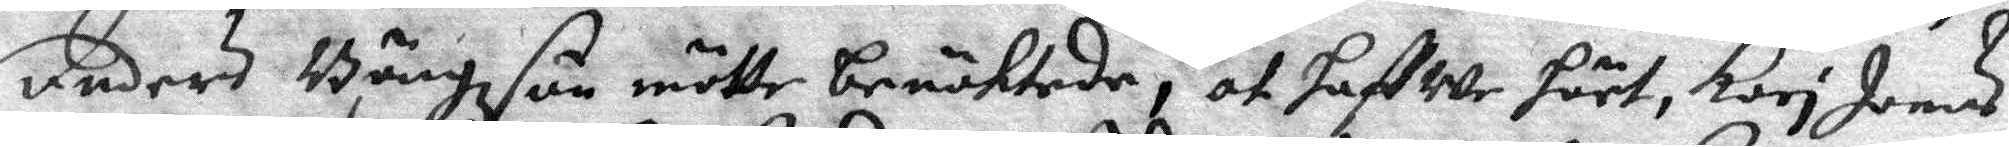Anders Bängzson mötte benöktade, at haffwe hört, Kori Joens
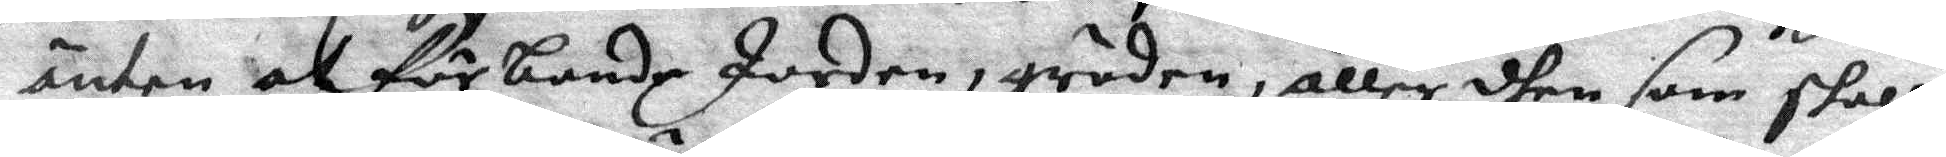änten at förbande Jorden, gröden, eller dhen som skall
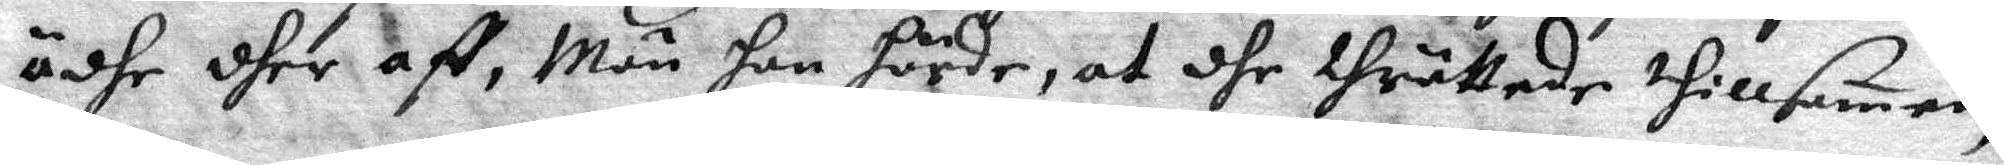ädhe dher aff, Män han hörde, at dhe thrättade tillsamen,
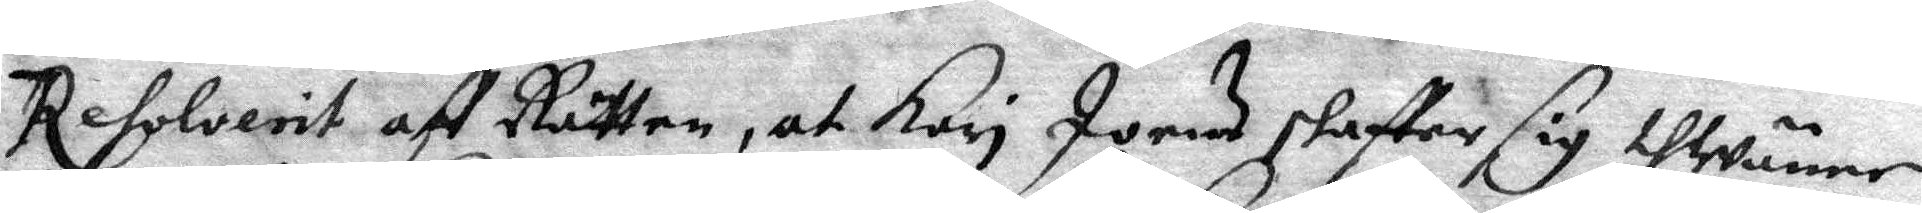Resolverit aff Rätten, at Kari Joens skaffer sig thwänne
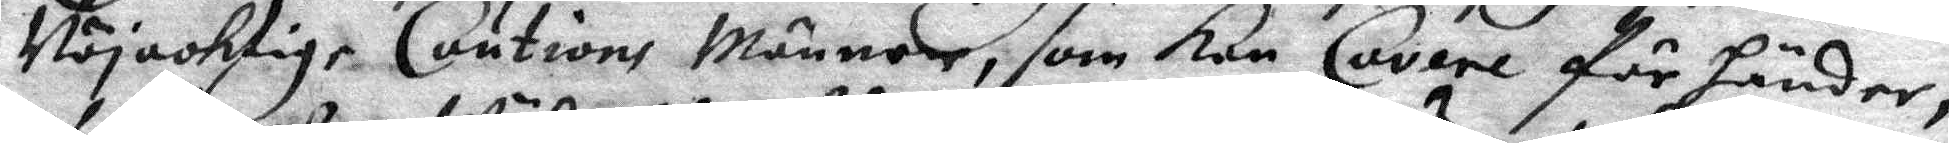Nöjacktige Coutions Männer, som kan Cavere för händer,
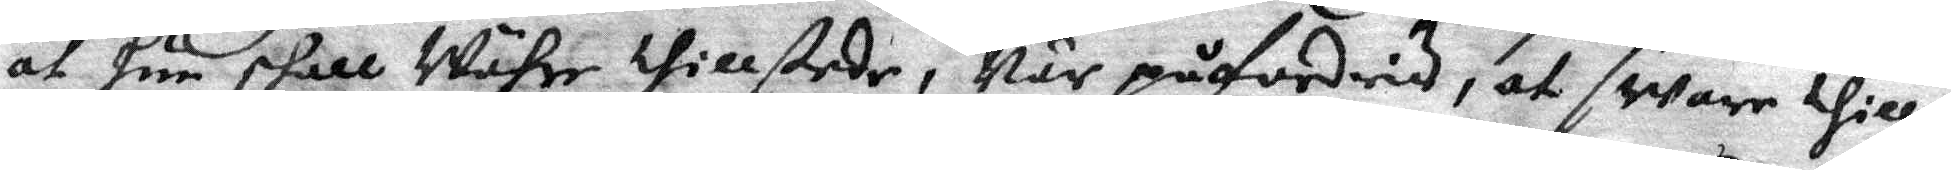at hun skall Währe thillstede, När påfordris, at sware thill
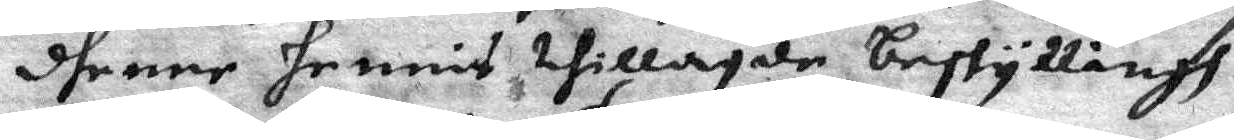dhenne hennis thillagde beskyllingh,
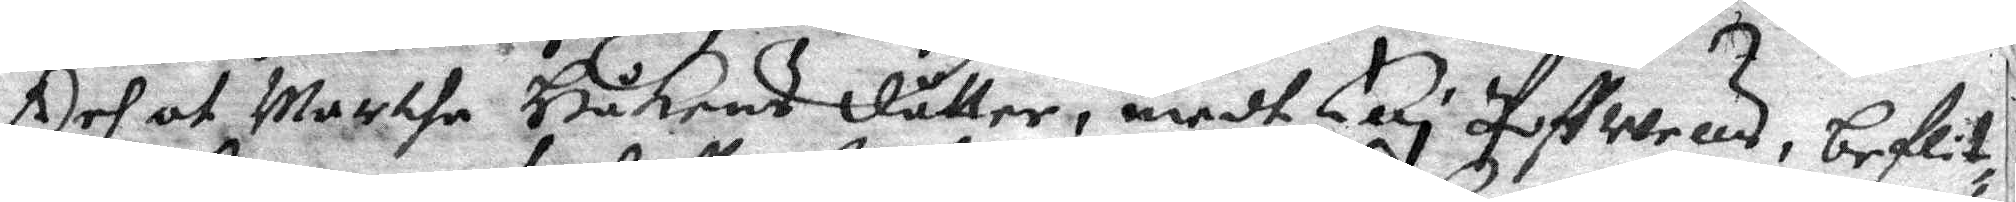Och af Martha Håkens dåtter, medh Elli Poffwells, beflit¬
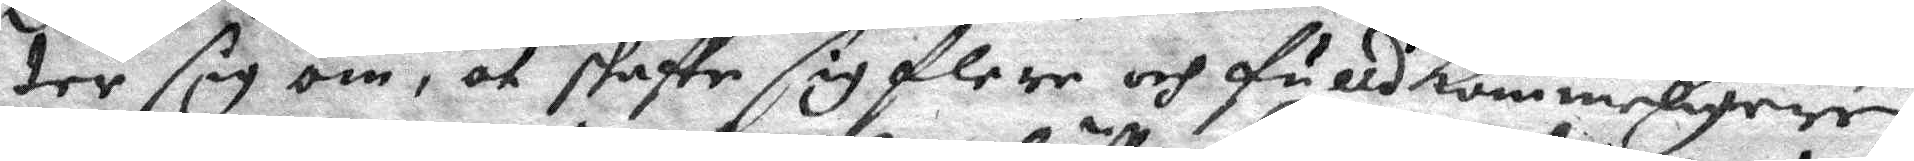ter sig om, at skaffe sig flere och fulldkommeligen
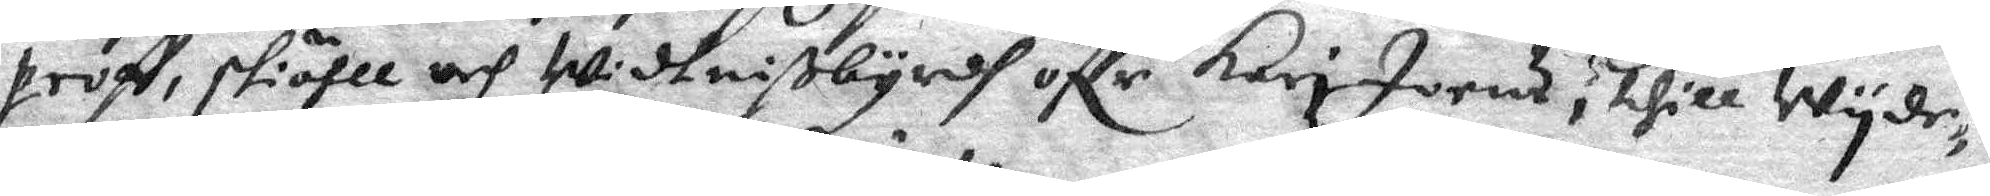proff, skiähll och Widtnißbyrdh öffr Kari Joens; thill Wyde¬
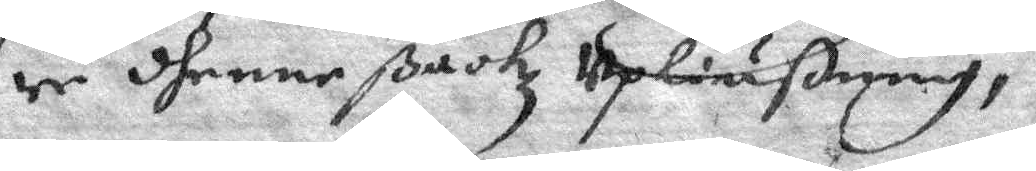re dhenne ßackz Upliußning,
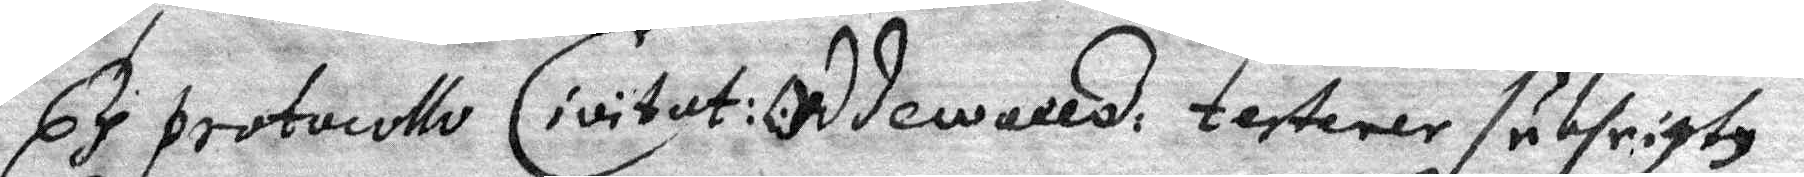Ex Protocollo Civitat: Oddewalld testerer subfrigtz
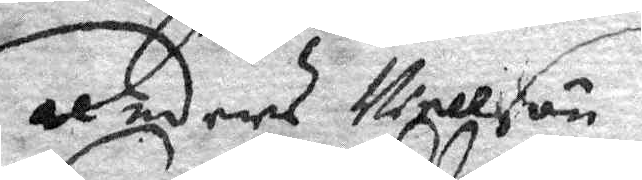Anders Nellson
